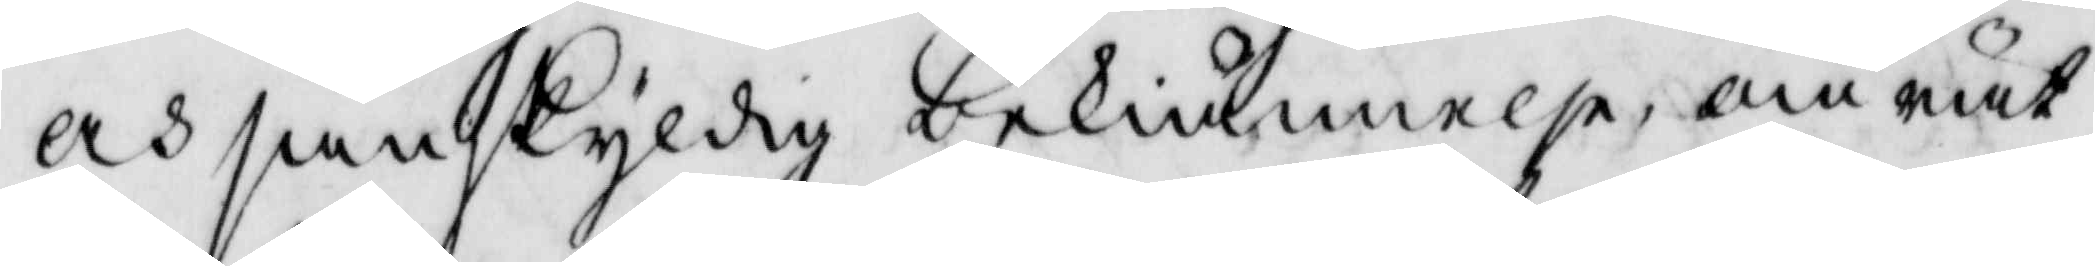och sanskyldig bekiännelse om rät¬
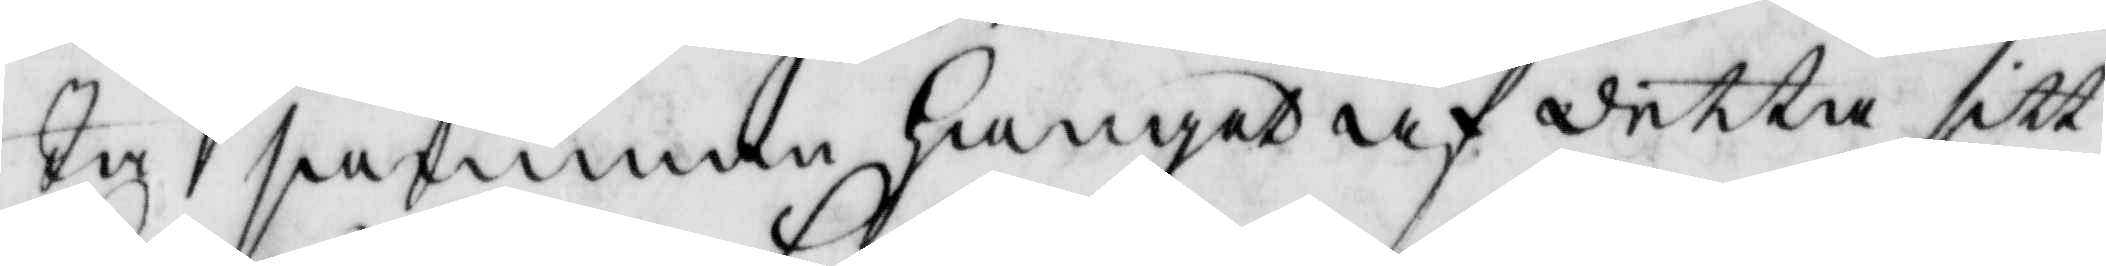ta samman hanget af detta sitt
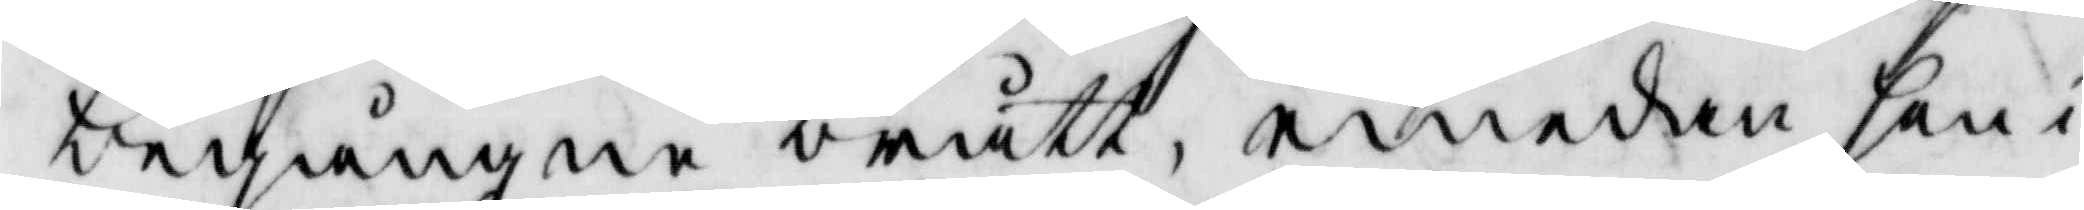begångne brått, emedan hon i
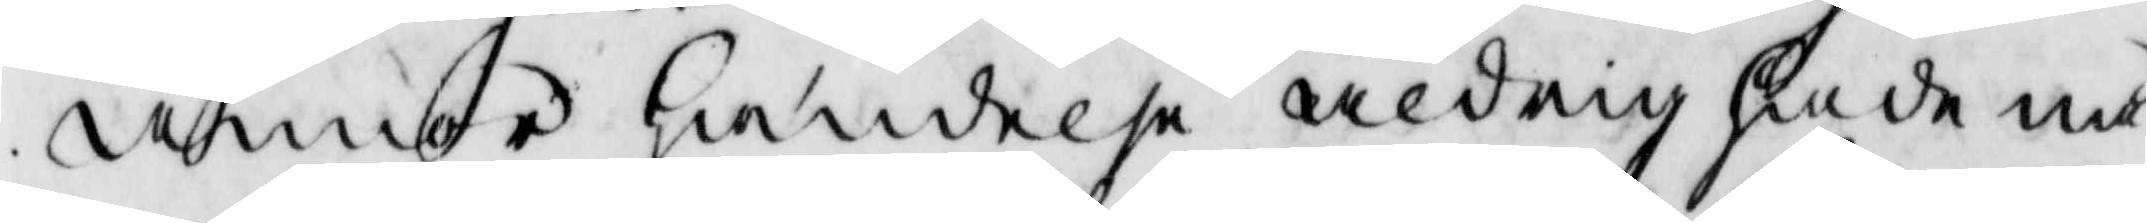annor händelse aldrig hade nå¬
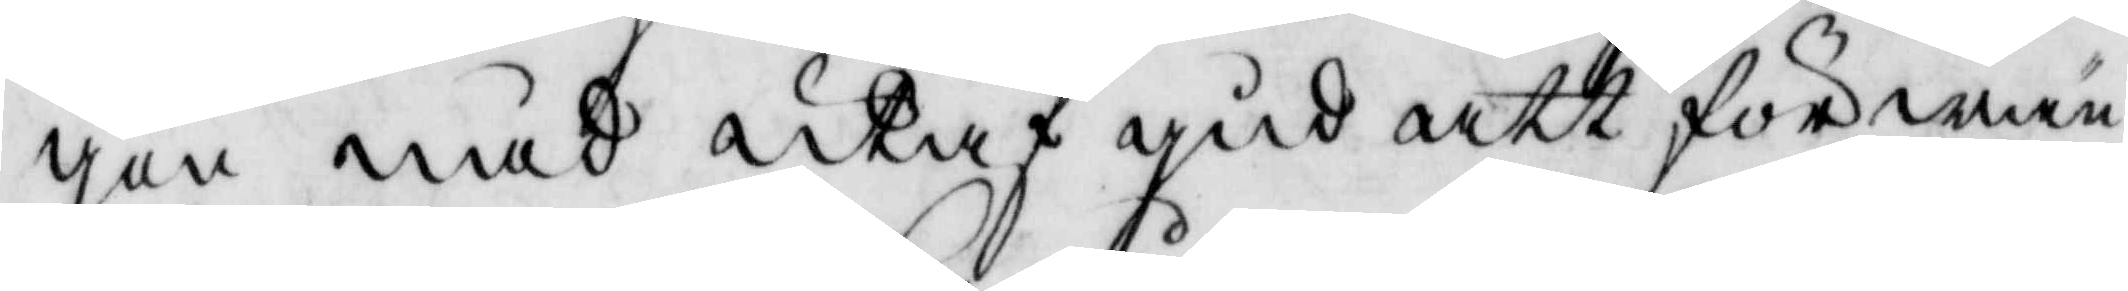gon nåd utaf gud att förwän¬
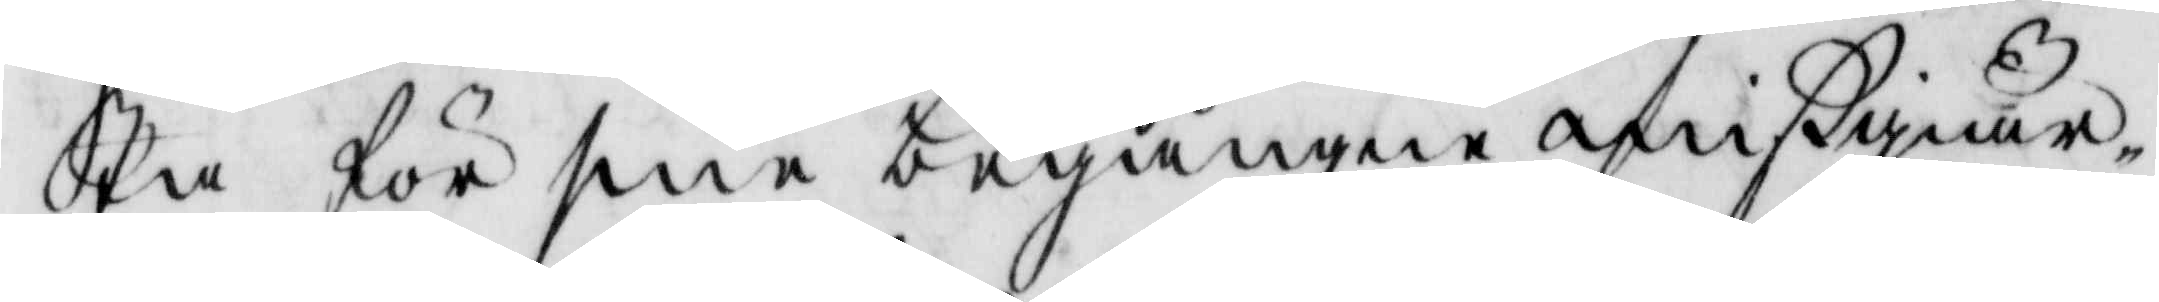ta för sine begångne mißgiär¬
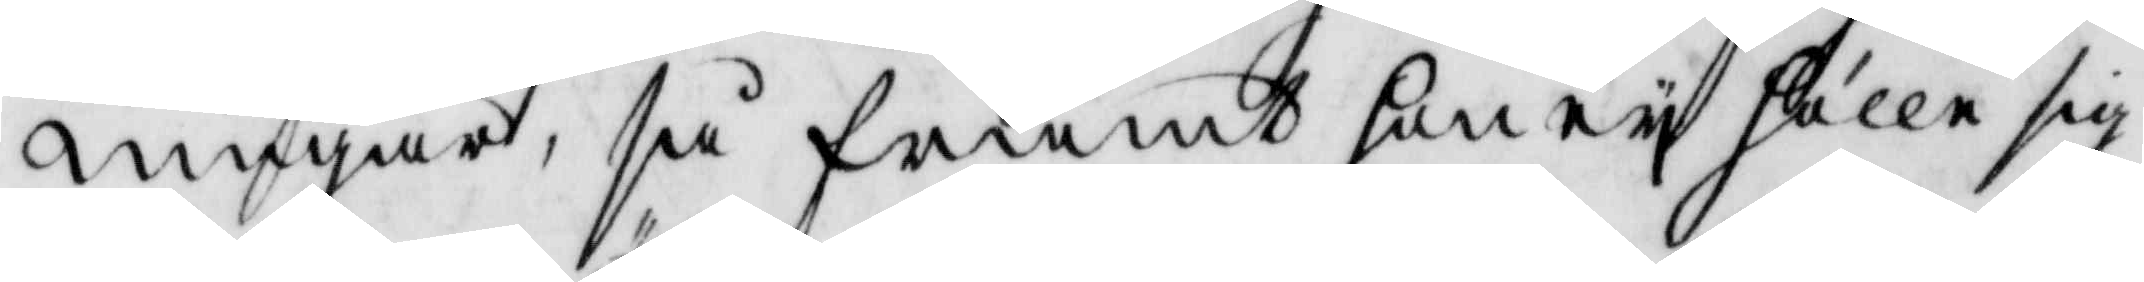ningar, så framt hon ey hålle sig
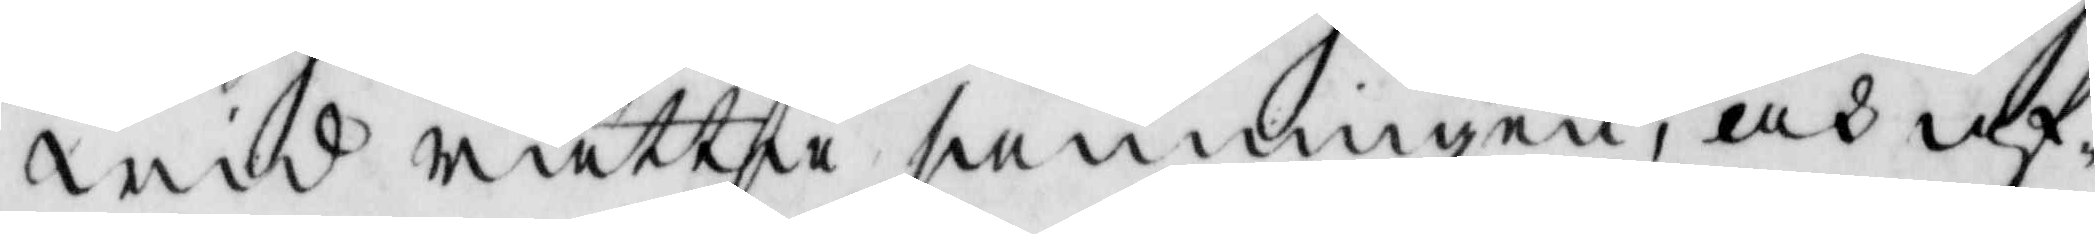wid rätta sanningen, och af¬
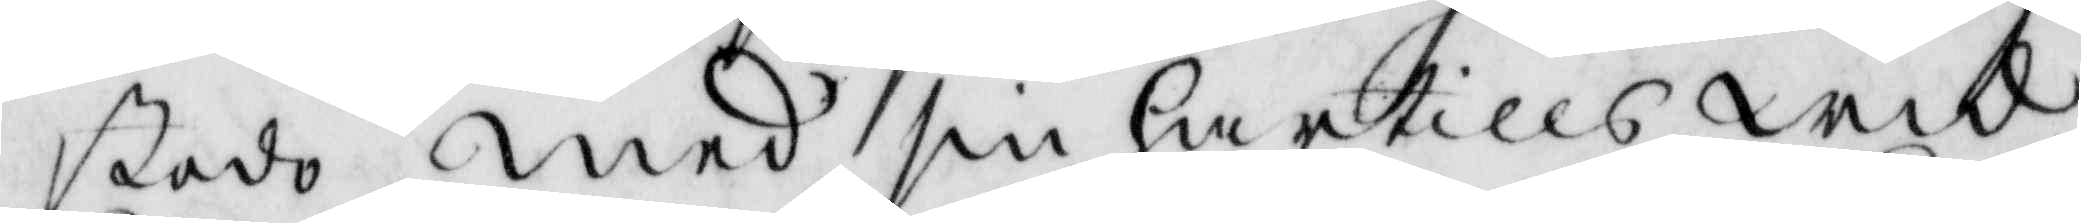stodo med sin hartills wid
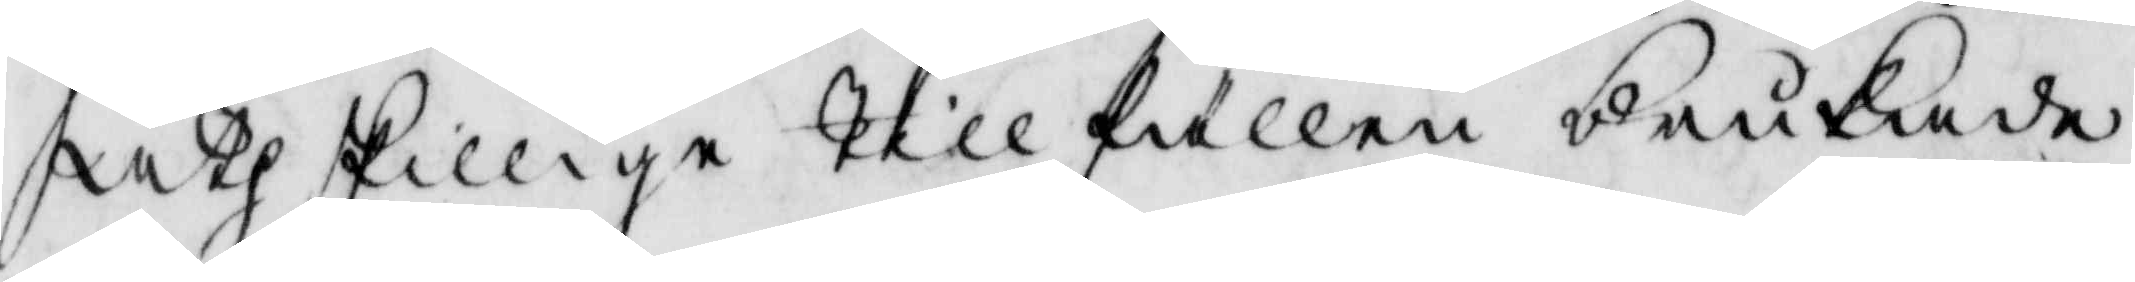åthskillige till fällen brukade
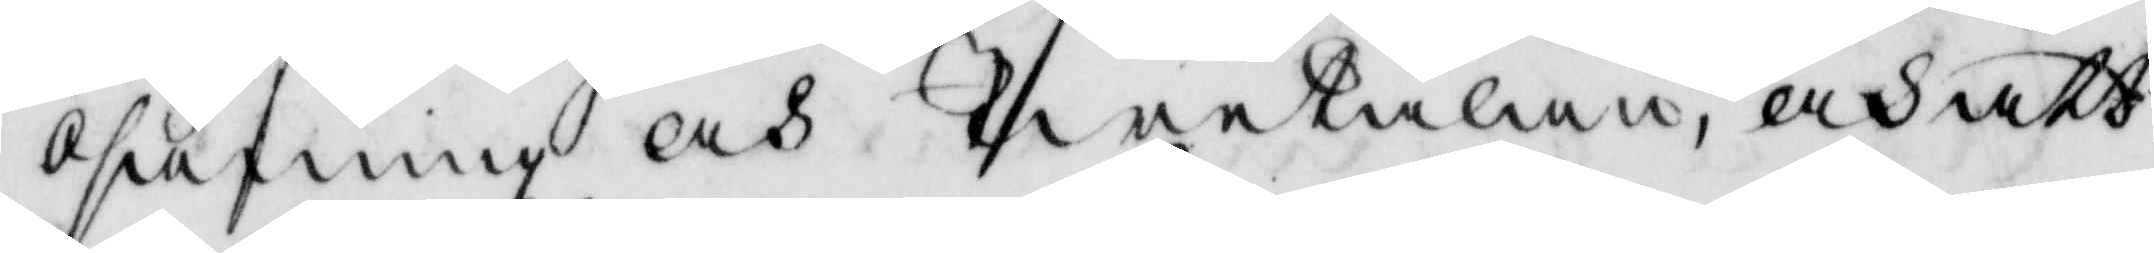osanning och twetalan, och att
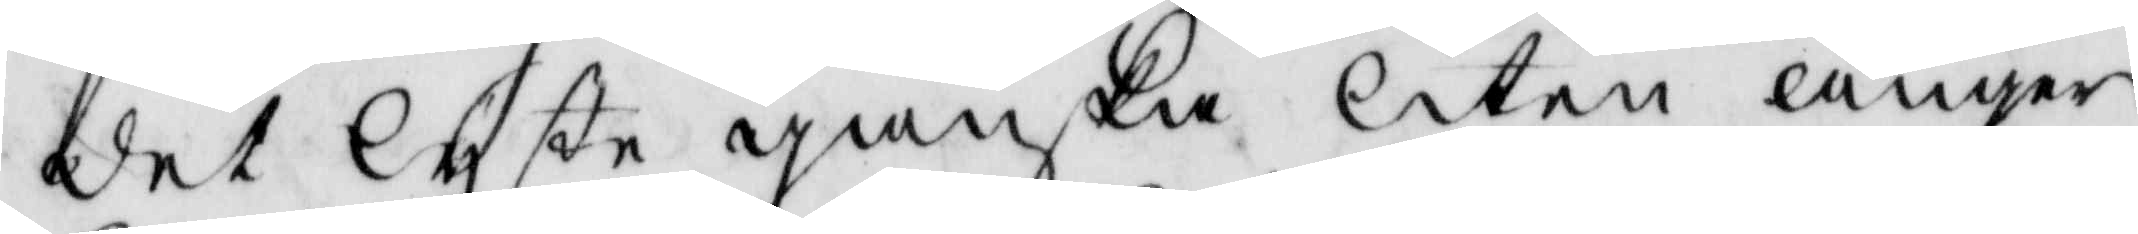det lyste ganska liten ånger
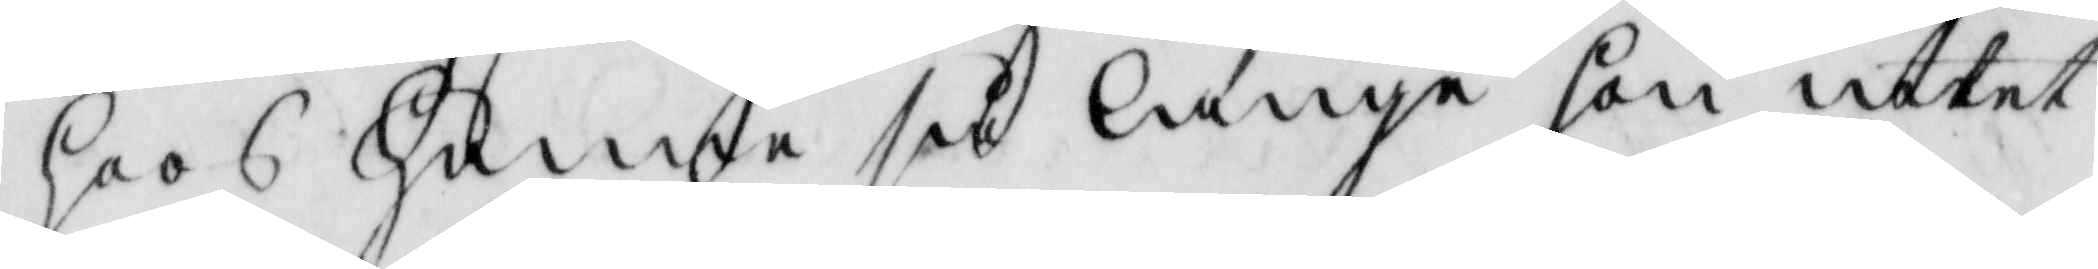hoos henne så länge hon intet
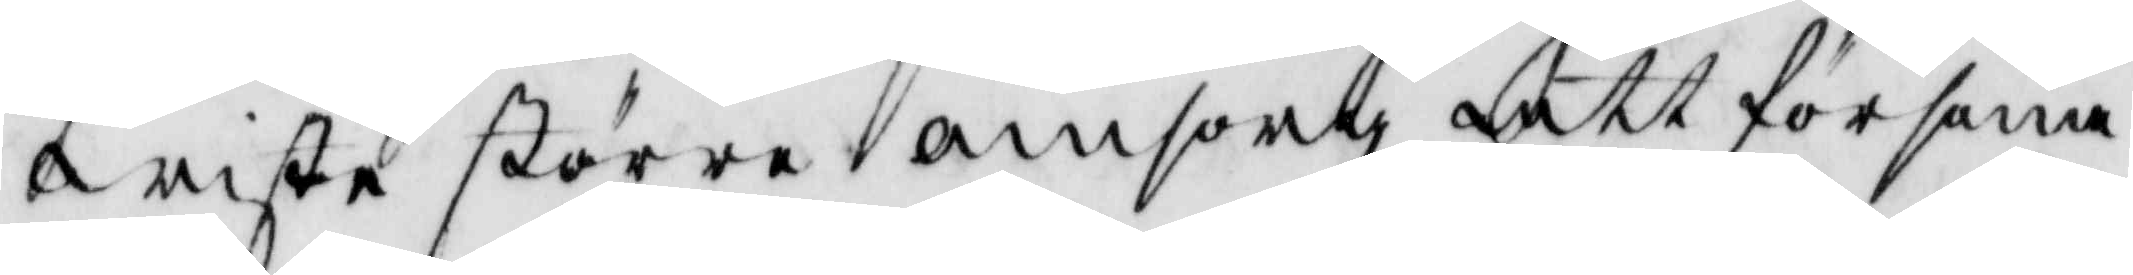wiste större omsorg att försona
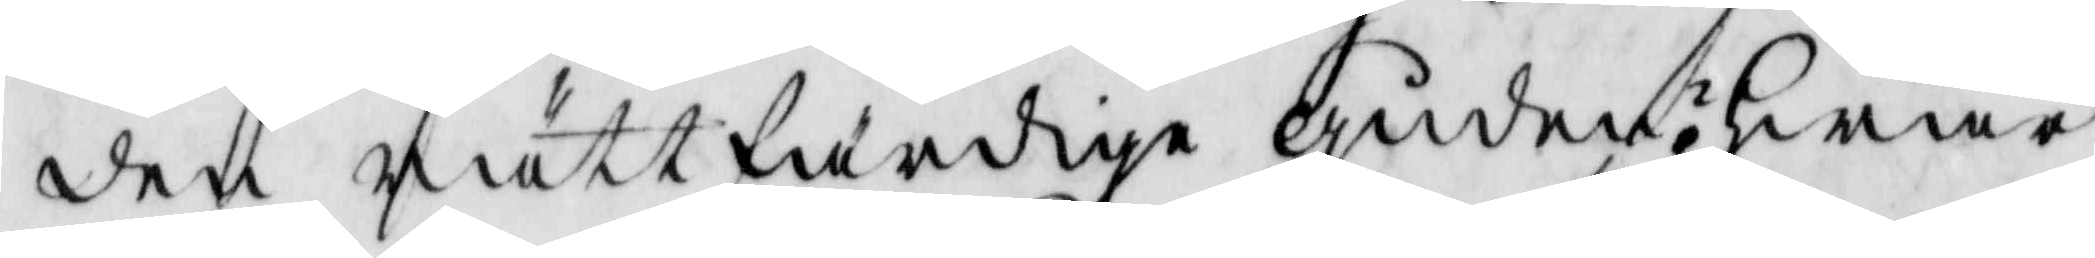den rättfärdige guden; hwar
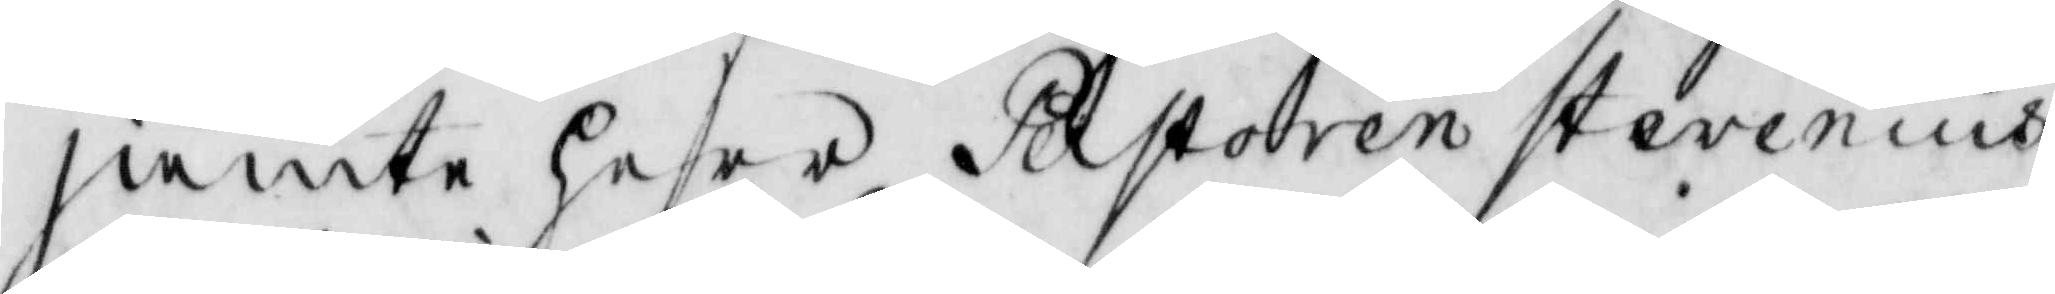jämte harr Pastoren Stevenius
